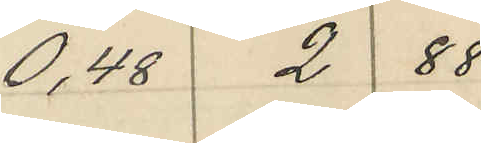0,48 2 88
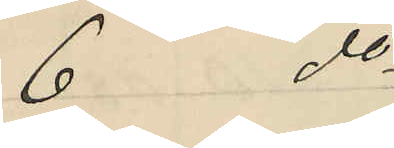6 do
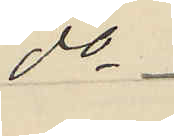do
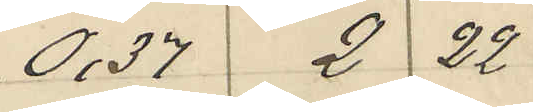0,37 2 22
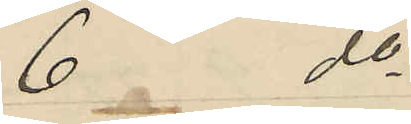6 do
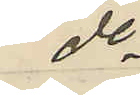do
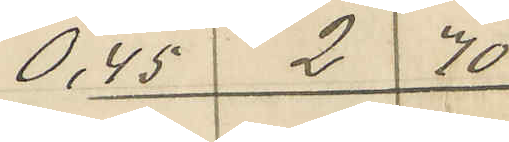0,45 2 70
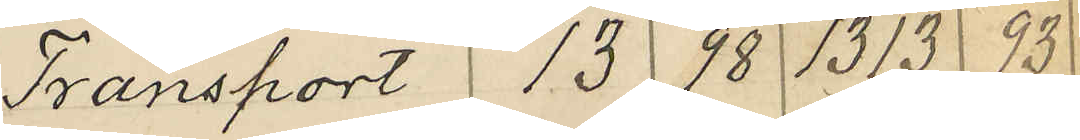Transport 13 98 1313 93
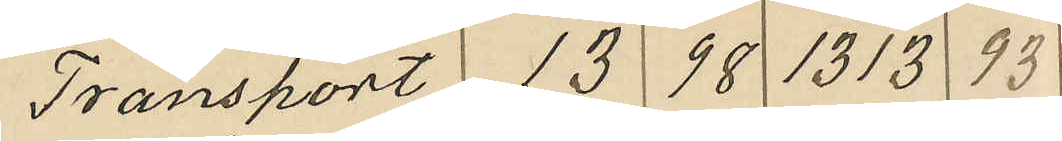Transport 13 98 1313 93
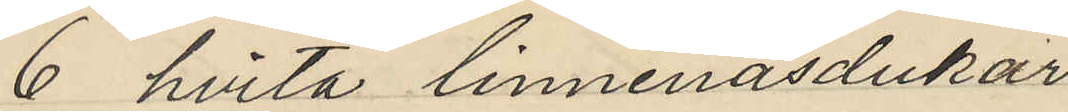6 hvita linnenäsdukar
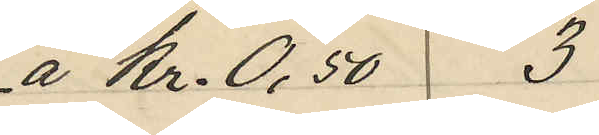á Kr. 0,50 3
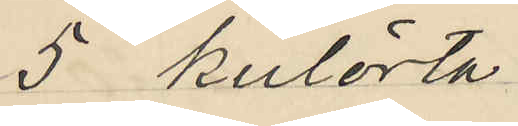5 kulörta
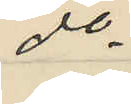do
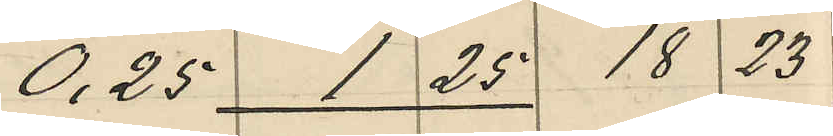0,25 1 25 18 23
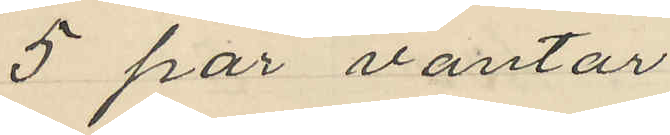5 par vantar
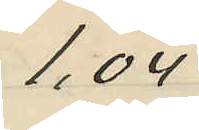1,04
